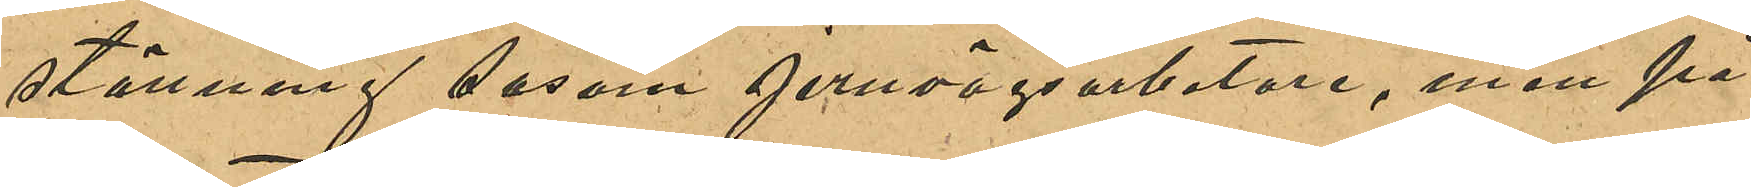ställning såsom jernvägsarbetare, men på
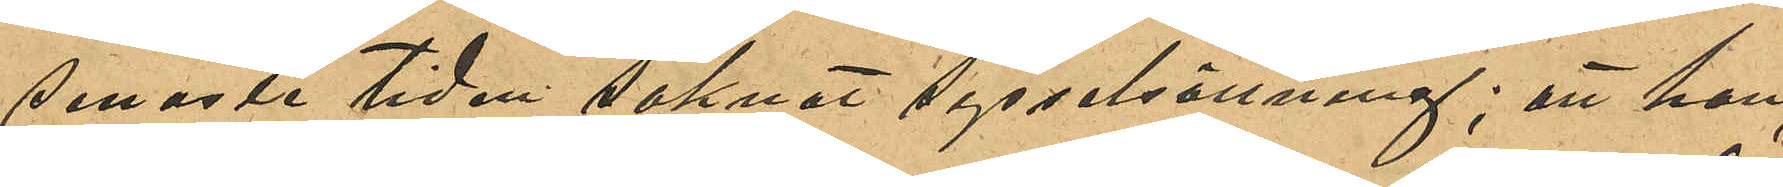senaste tiden saknat sysselsättning; att han
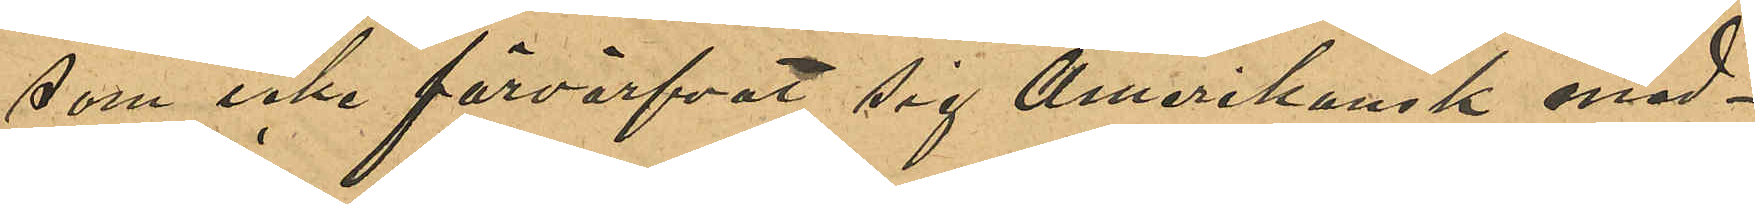som icke förvärfat sig Amerikansk med¬
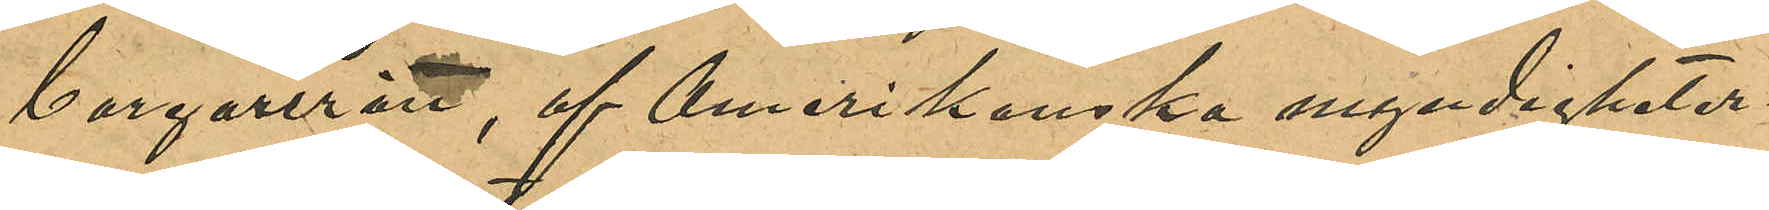borgarrätt, af Amerikanska myndigheter¬
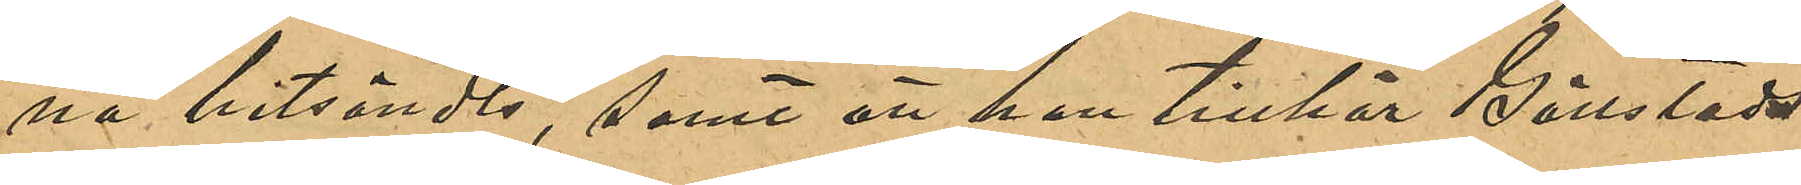na hitsändts, samt att han tillhör Gällstads
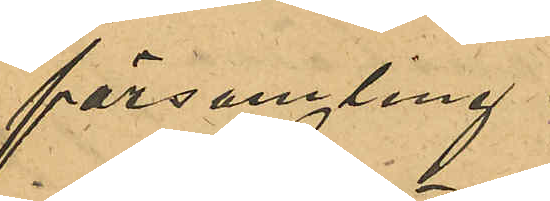församling.
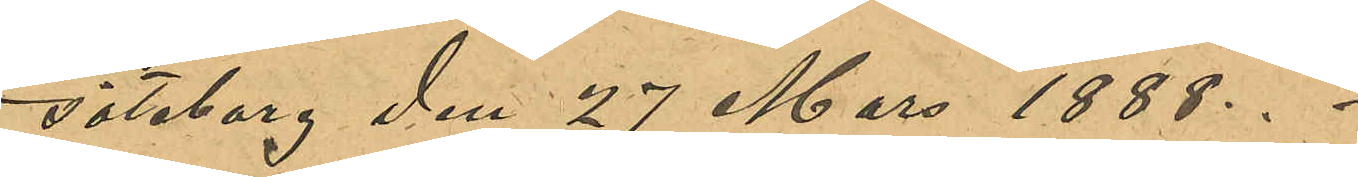Göteborg den 27 Mars 1888.
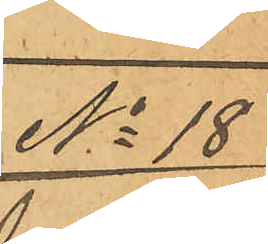No 18
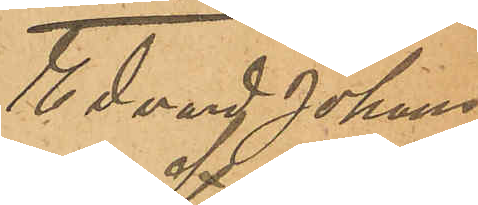Edvard Johans¬
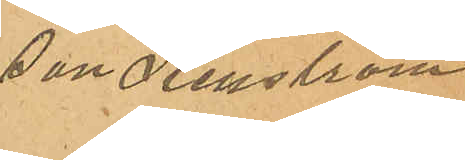son Stenström
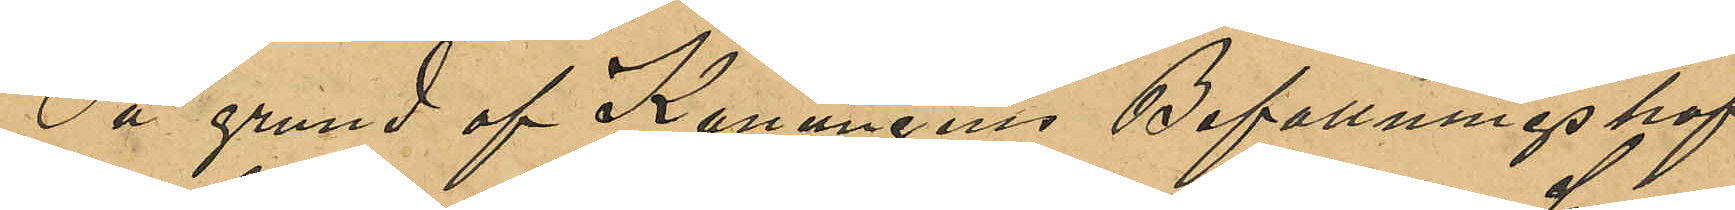På grund af Konungens Befallningshaf¬
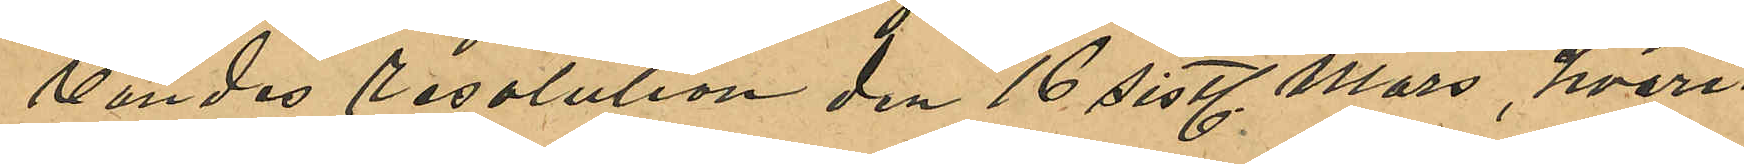vandes resolution den 16 sistl Mars, hvari¬
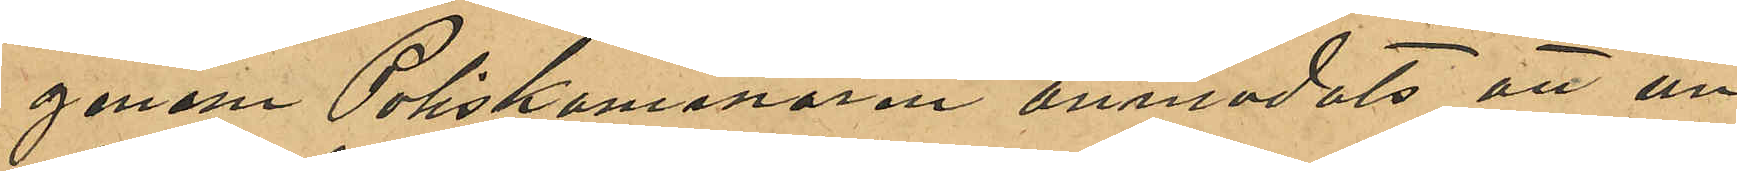genom Poliskammaren anmodats att un¬
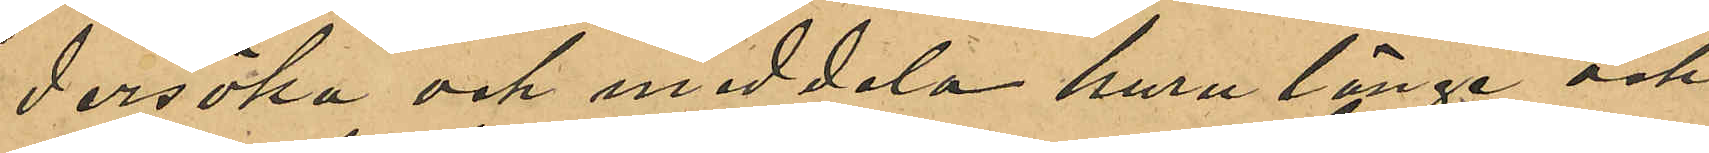dersöka och meddela huru länge och
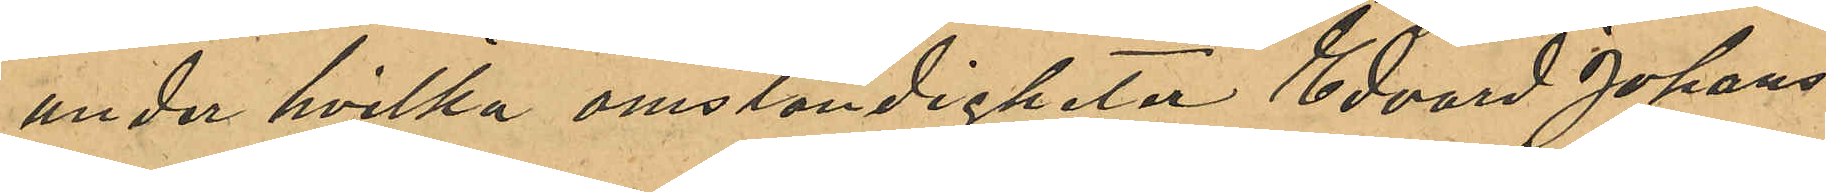under hvilka omständigheter Edvard Johans¬
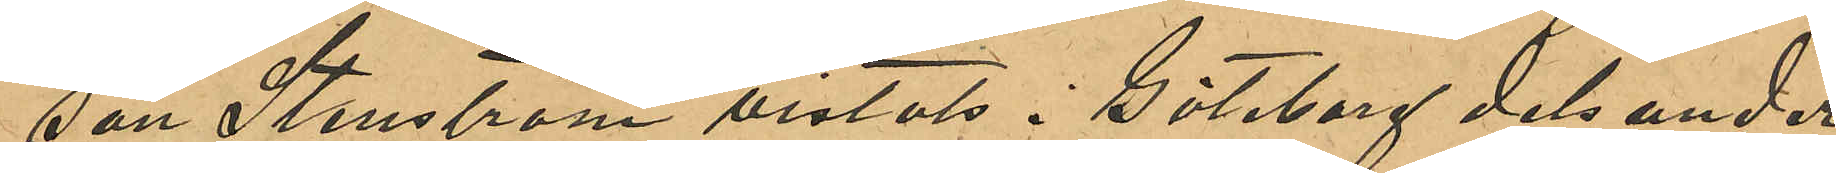son Stenström vistats i Göteborg dels under
